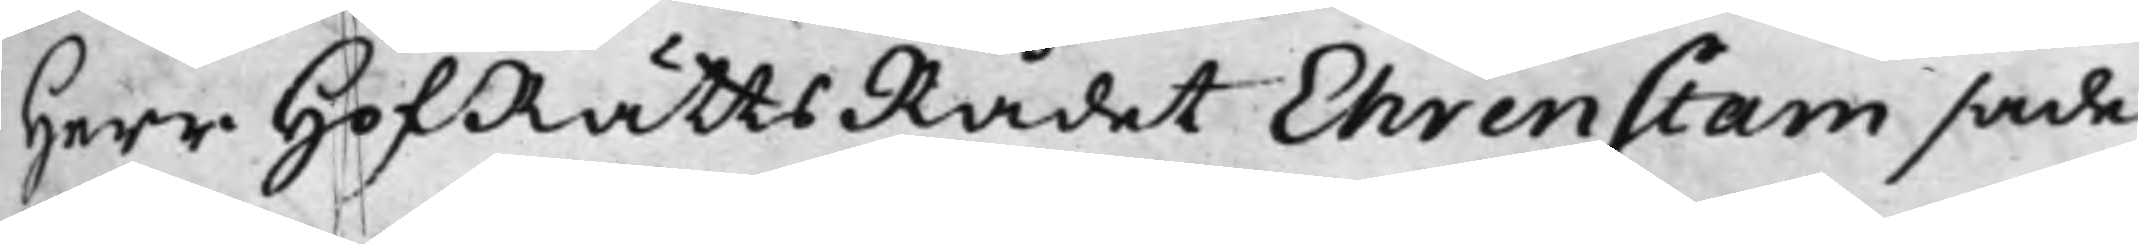Herr HofRättsRådet Ehrenstam sade,
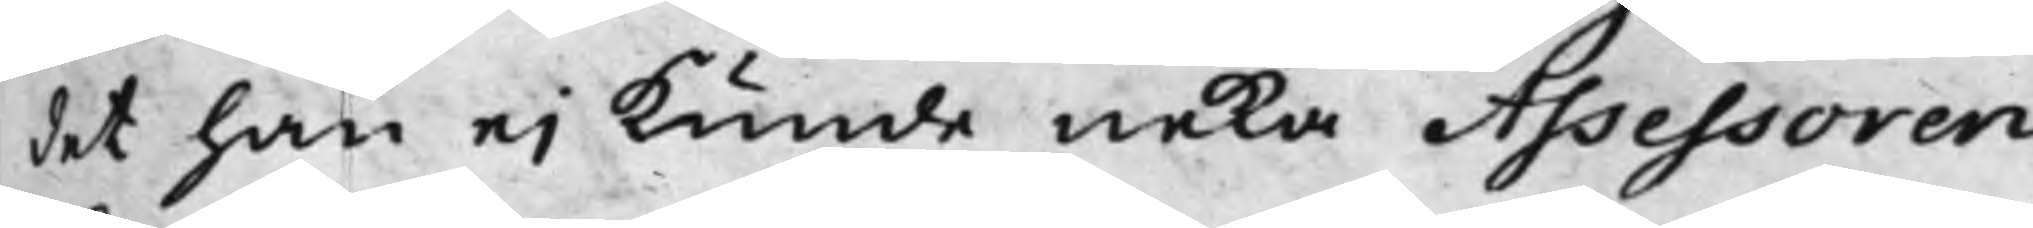det han ei kunde neka Assessoren
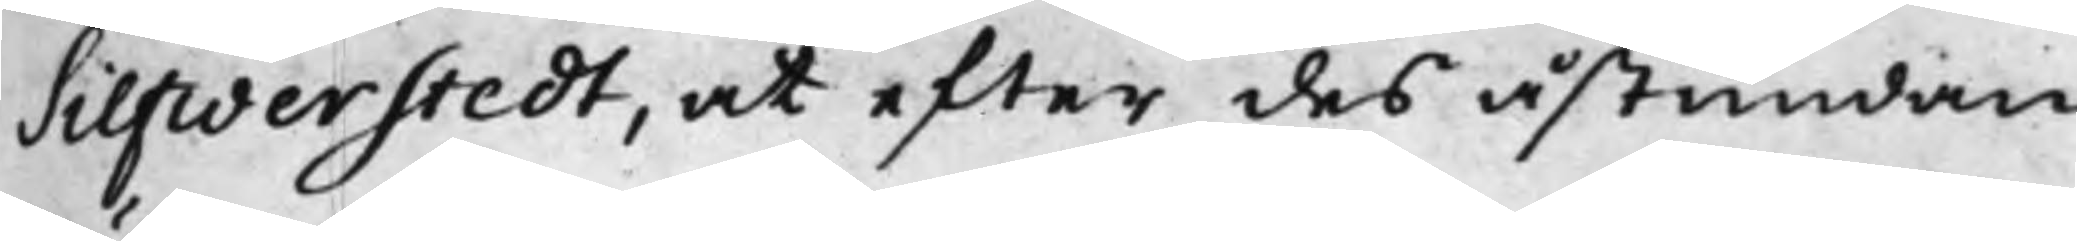Silfwerstedt, at efter des åstundan
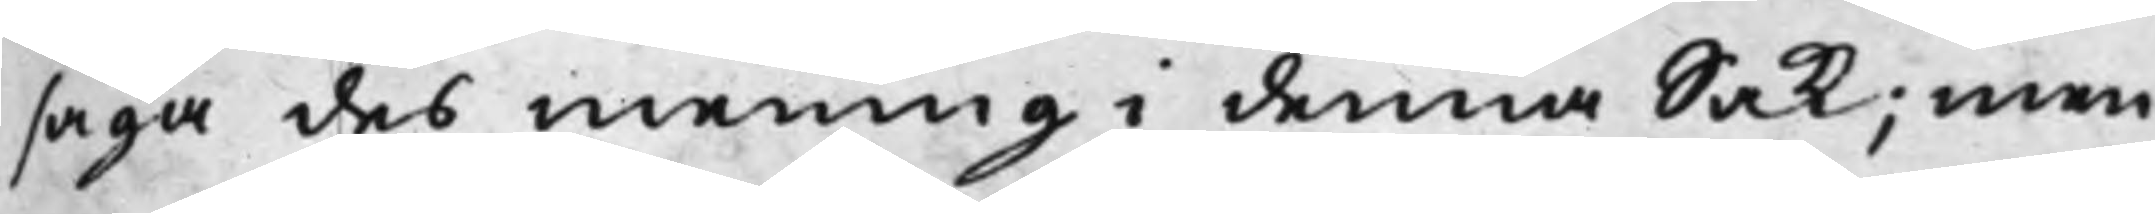säga des mening i denna Sak; men
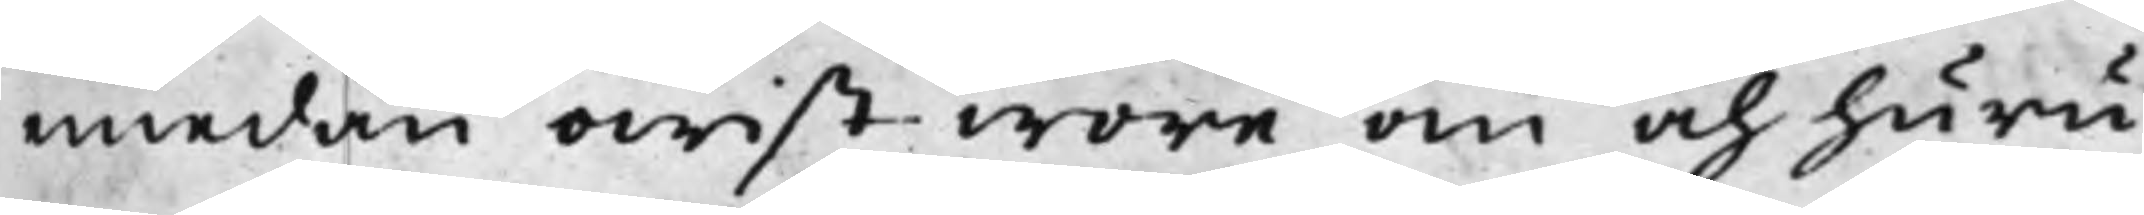emedan owist wore om och huru
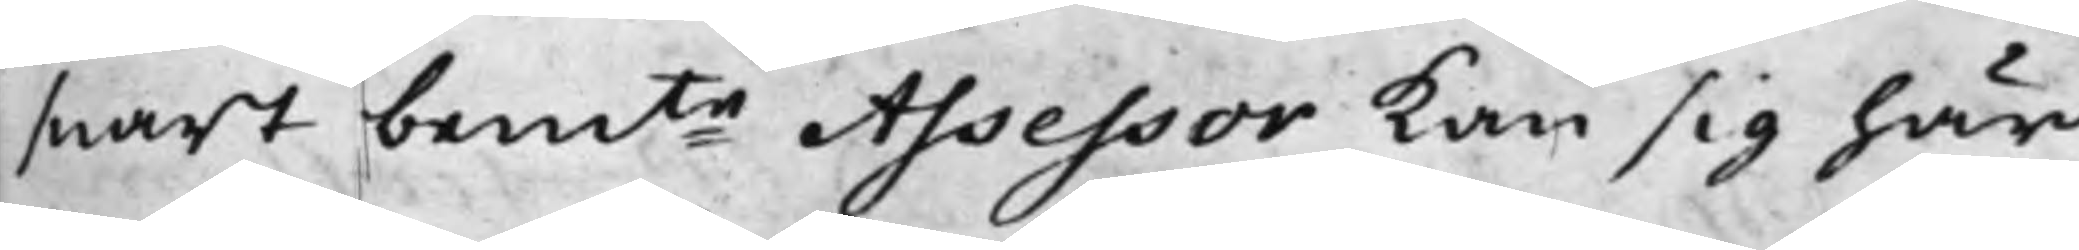snart bemte Assessor kan sig här
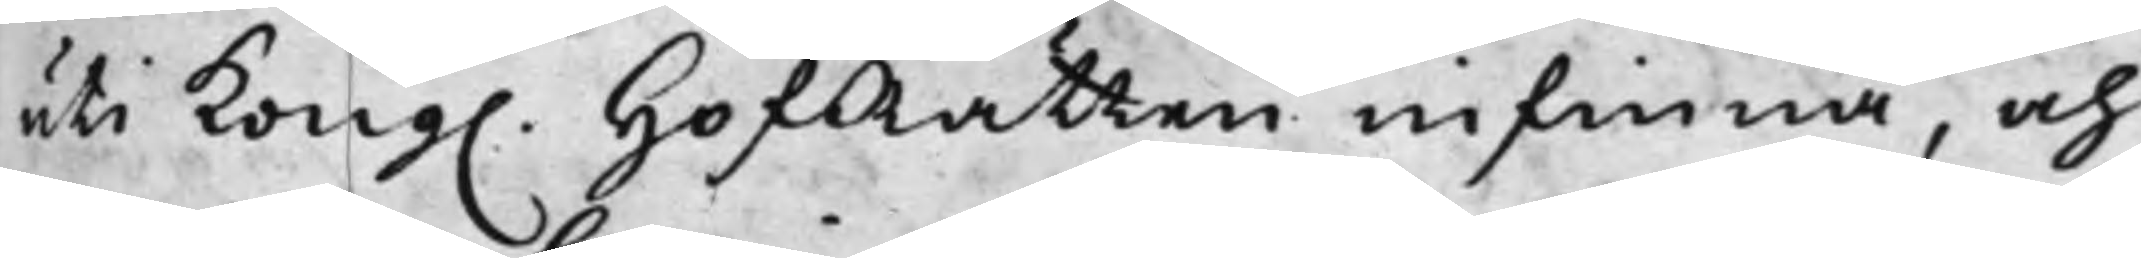uti Kong. HofRätten infinna, och
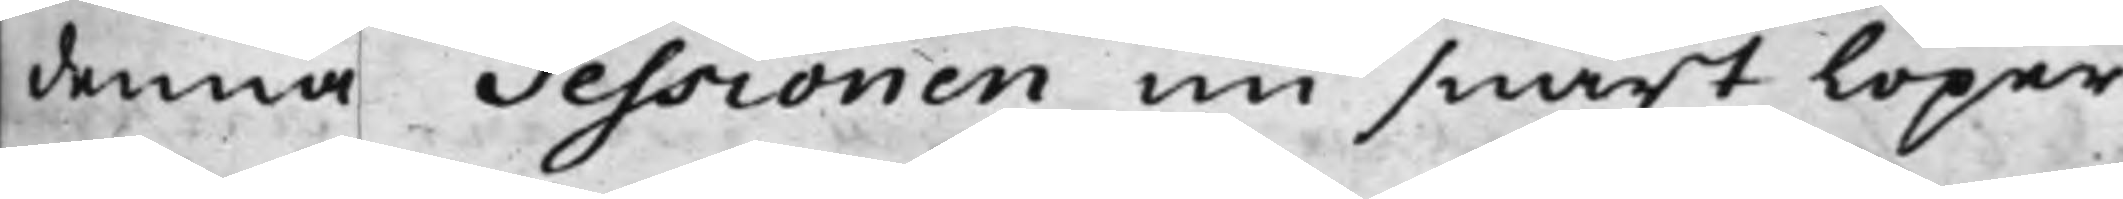denna Sessionen nu snart löper
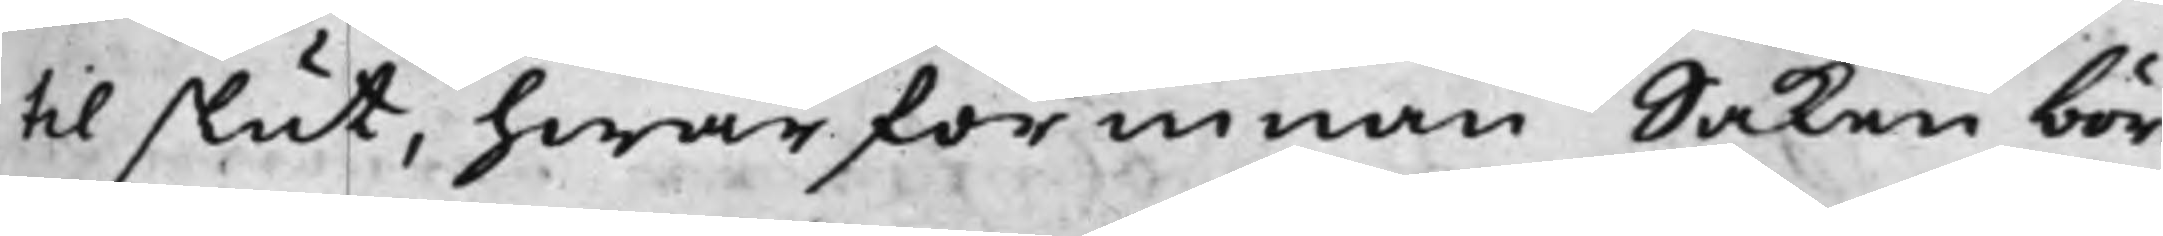till slut, hwarförinnan Saken bör
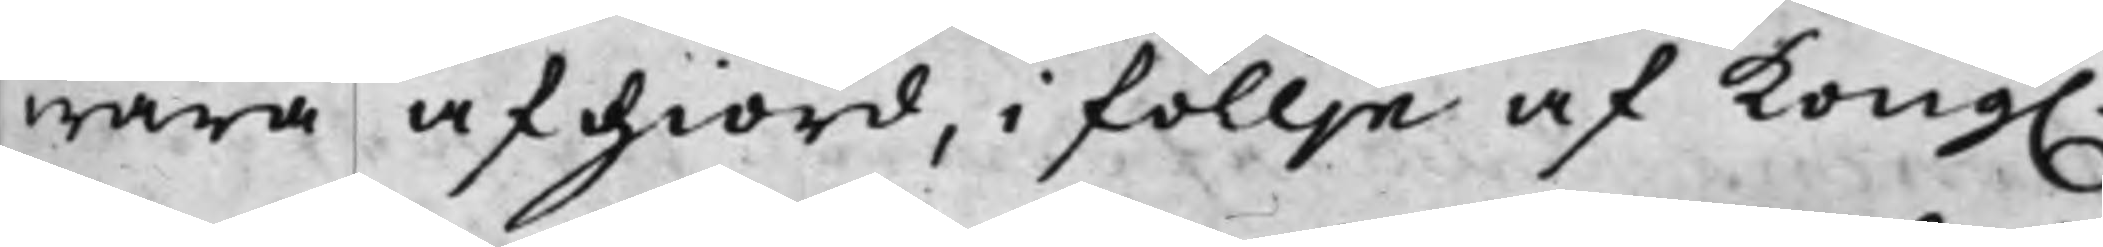wara afgiord, i föllje af Kong.
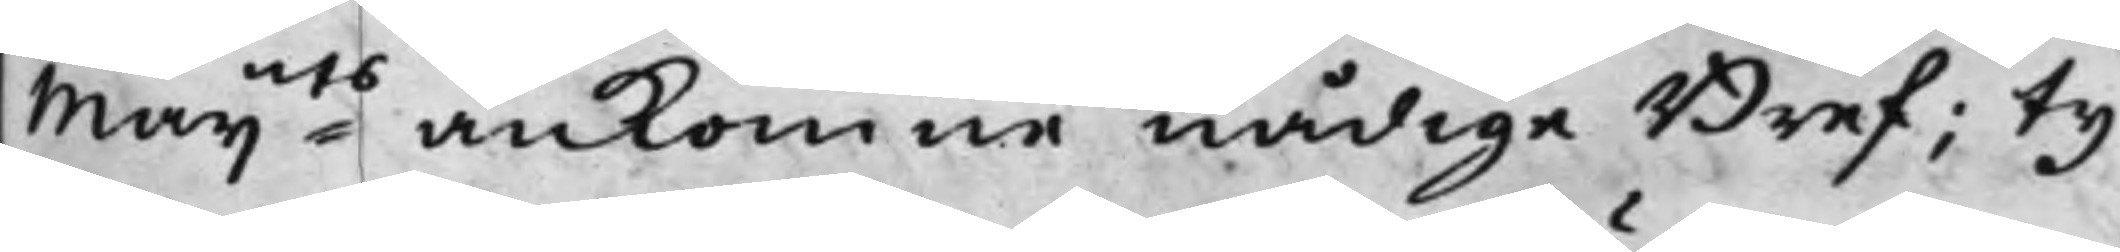Maijts ankomne nådige Bref; Ty
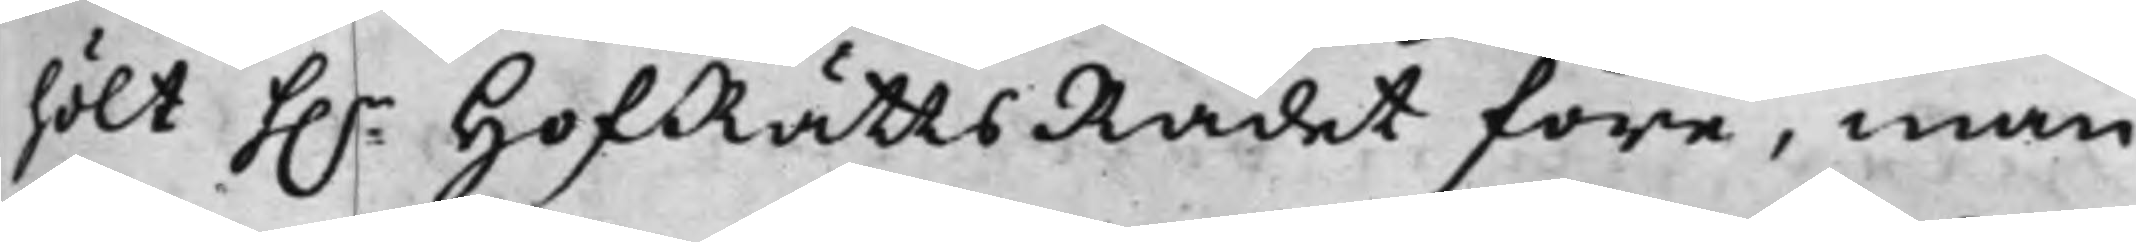hölt h.r HofRättsRådet före, man
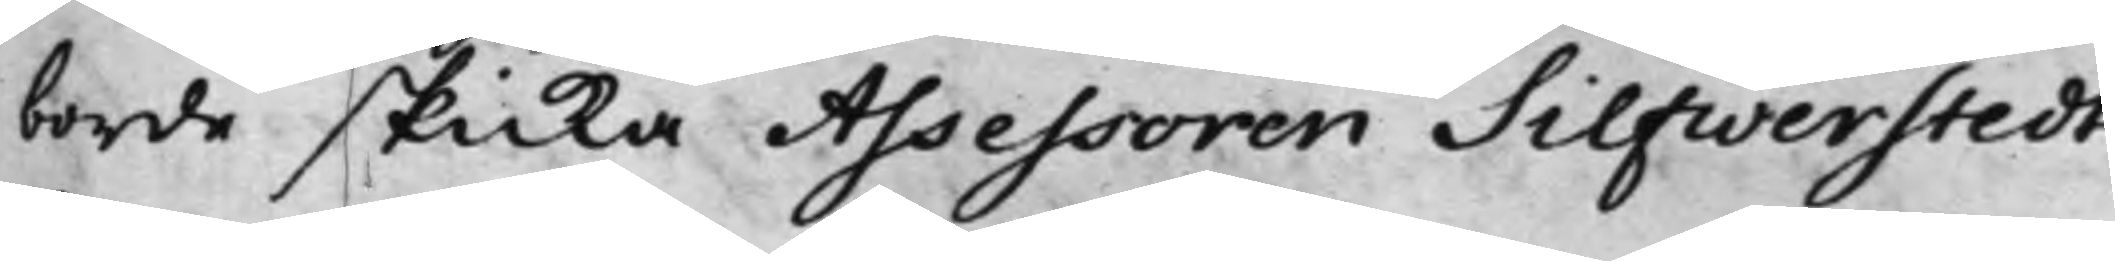borde skicka Assessoren Silfwerstedt
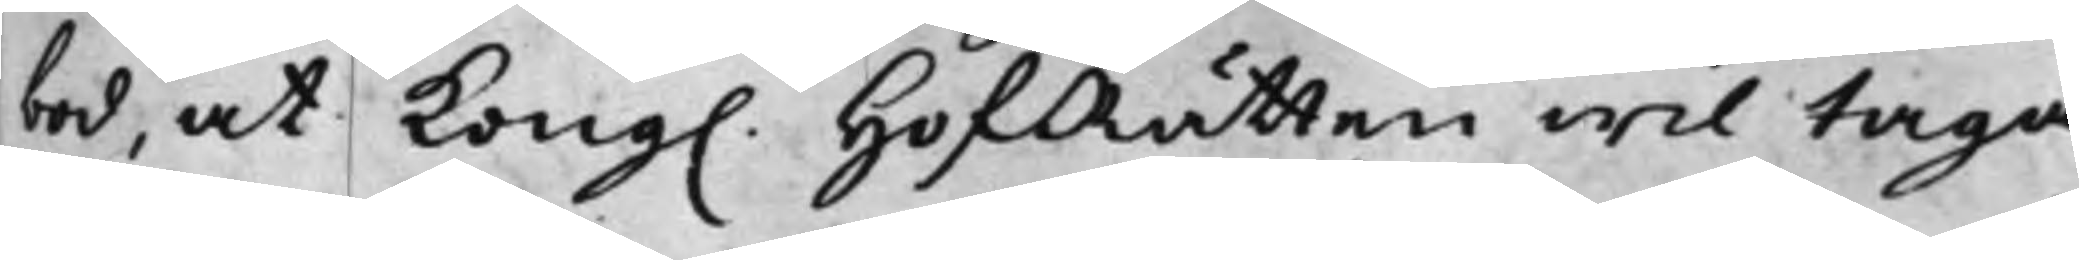bud, at Kong. HofRätten wil taga
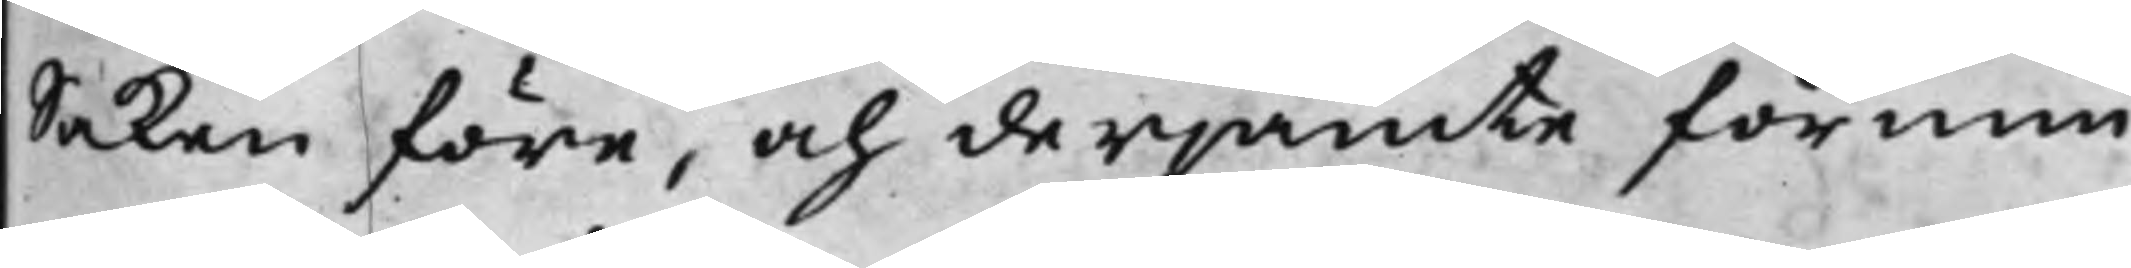Saken före, och derjämte förnim¬
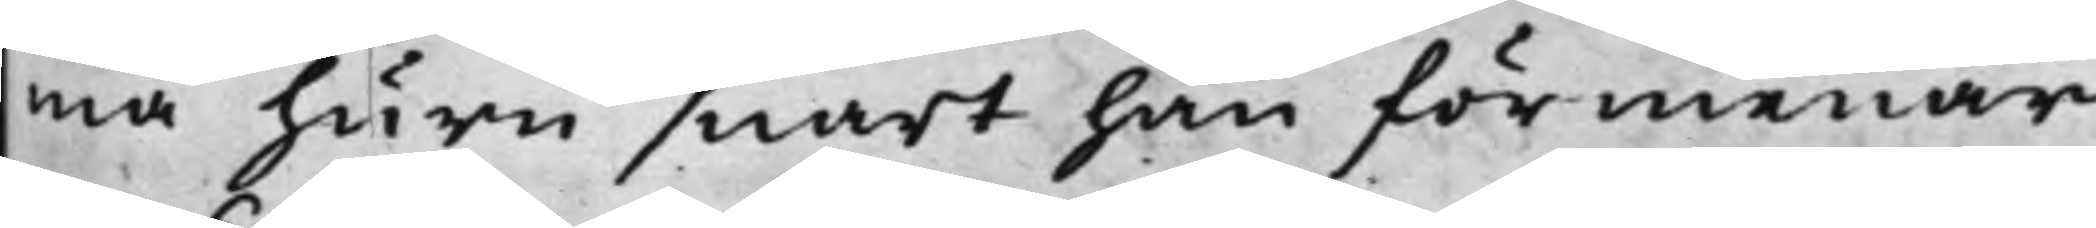ma huru snart han förmenar
